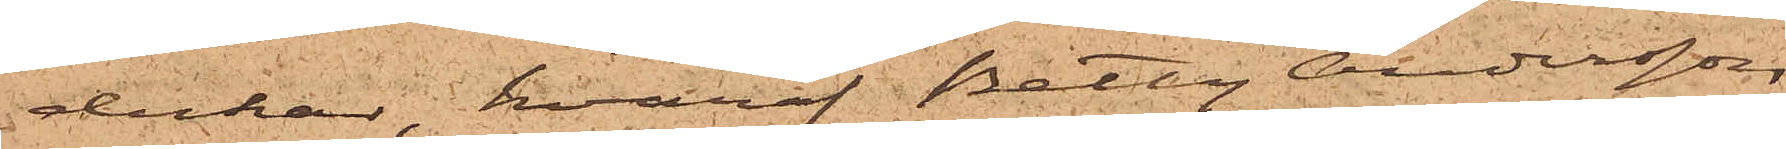dukar, hvaraf Betty Andersson
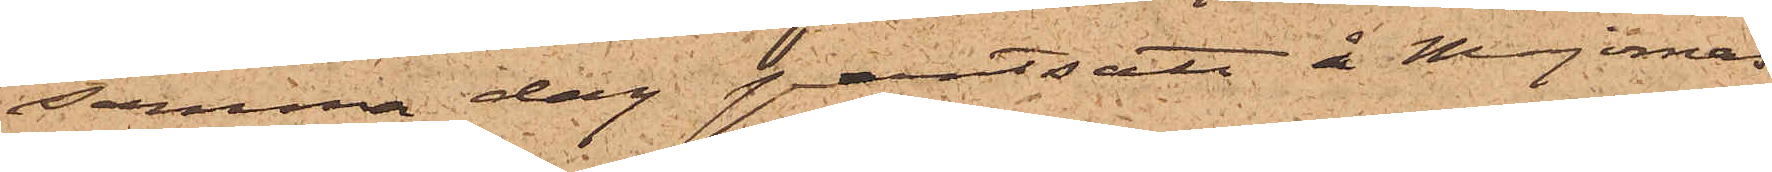samma dag pantsatt å Majornas
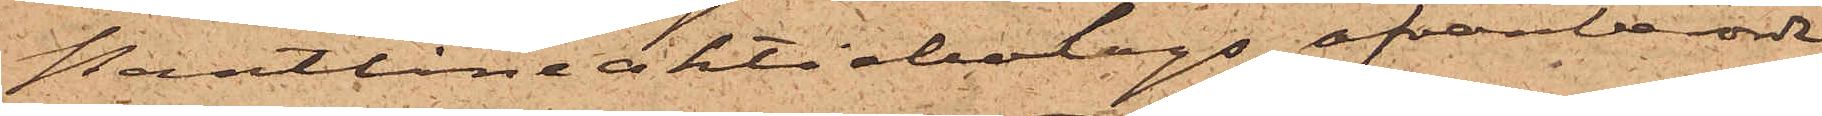Pantlåneaktiebolags ofvanberörde
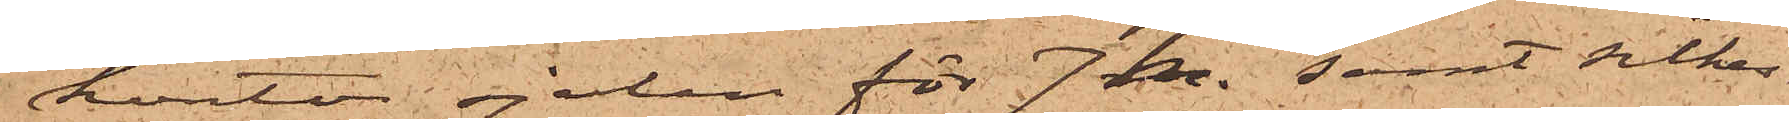kontor sjalen för 7 kr. samt silkes¬
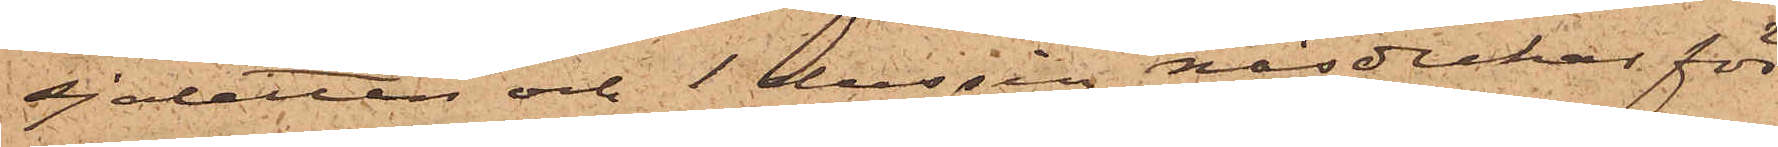sjaletten och 1 dussin näsdukar för
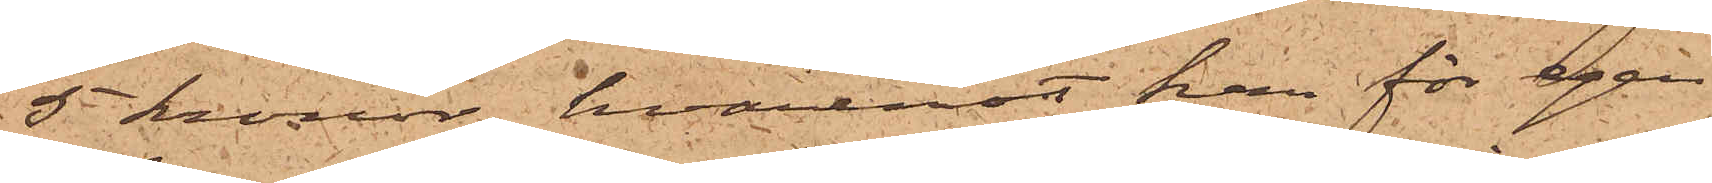5 kronor, hvaremot han för egen
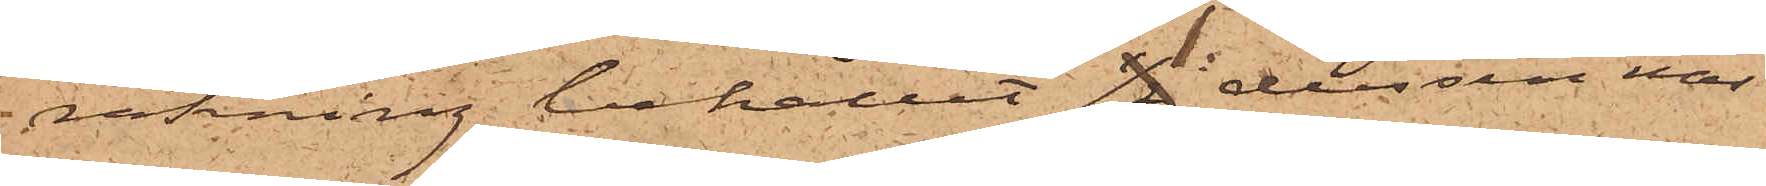räkning behållit 1 dussin näs¬
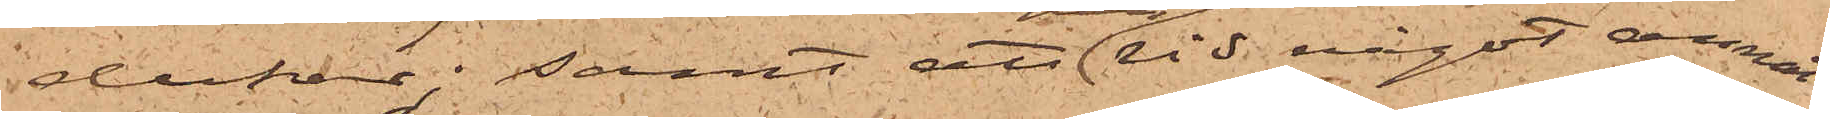dukar; samt att vid något annat
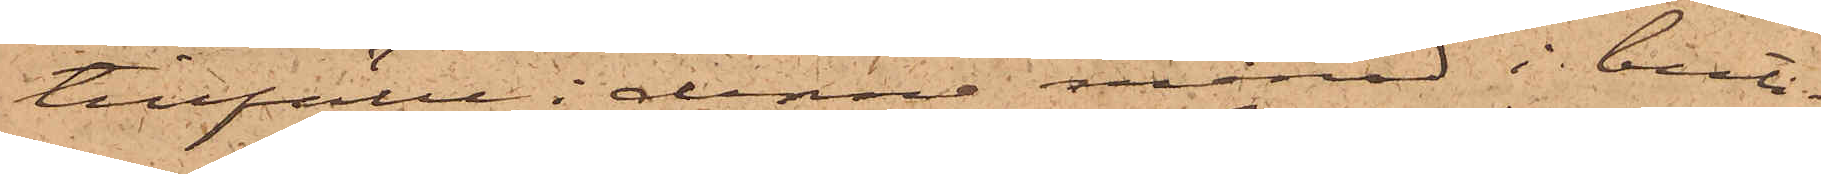tillfälle i denna månad i buti¬
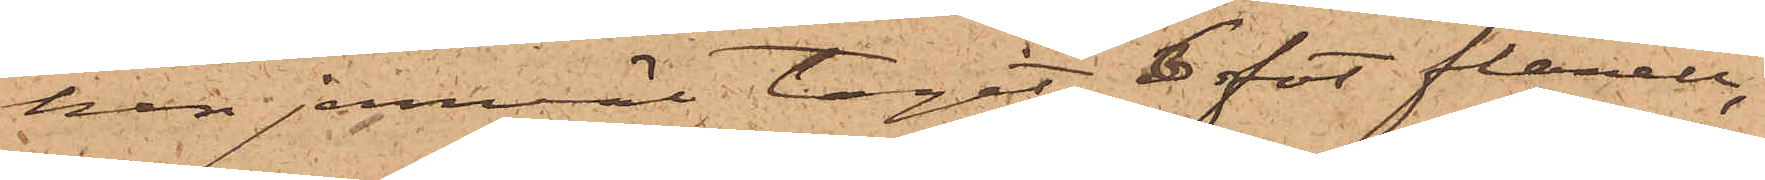ken jemväl tagit 6 fot flanell,
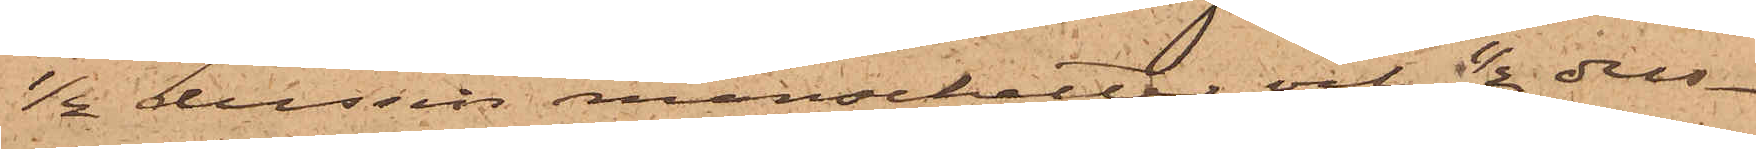1/2 dussin manschetter och 1/2 dus¬
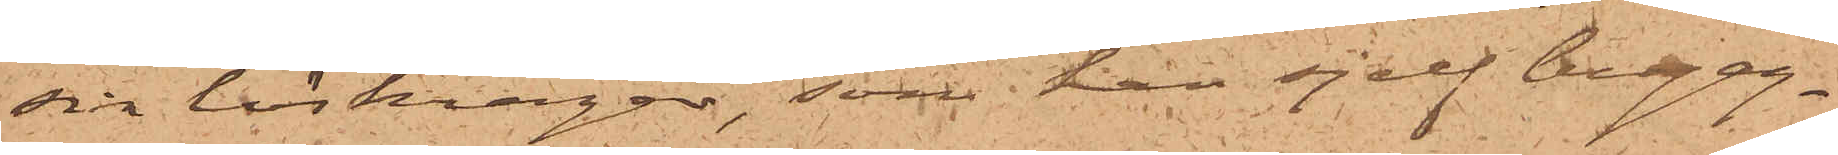sin löskragar, som han sjelf begag¬
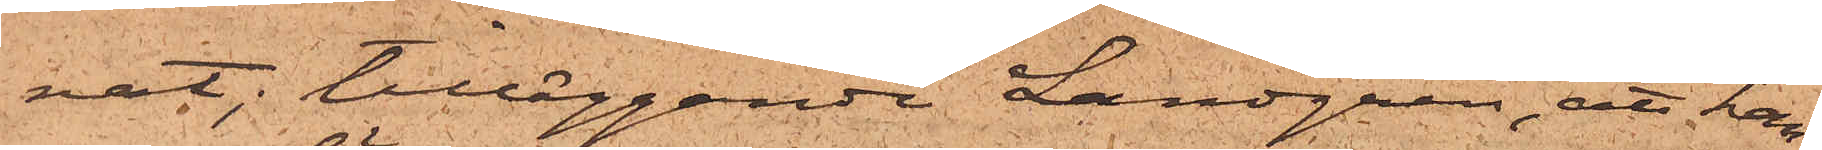nat; tilläggande Landgren, att han,
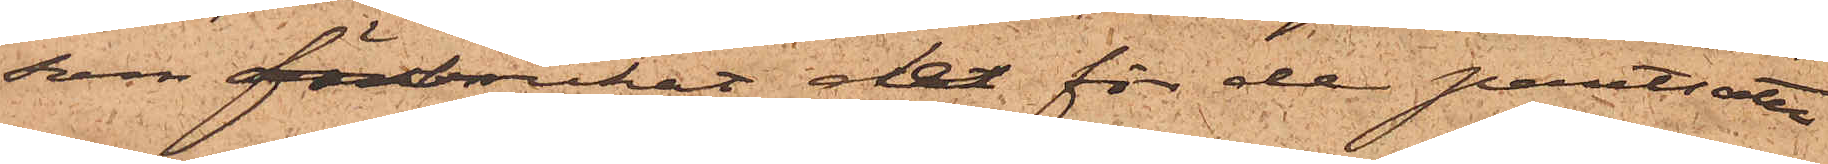som förbrukat det för de pantsatte
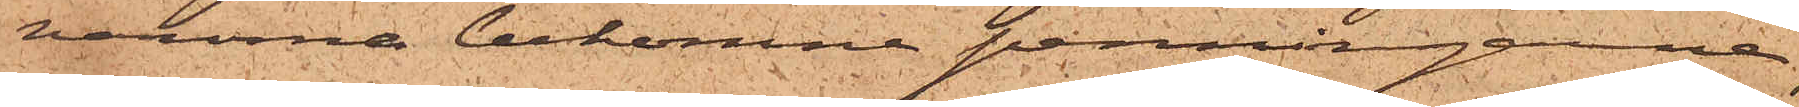varorna bekomne penningarne,
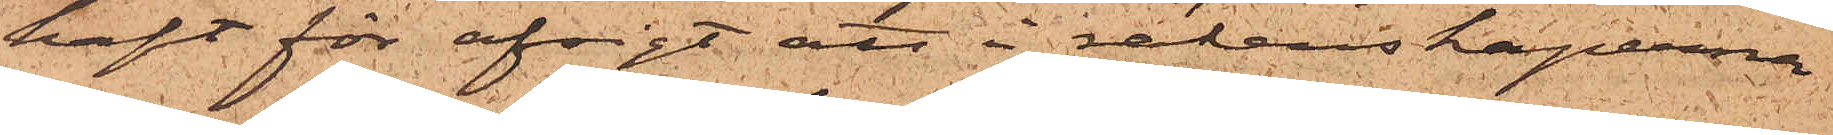haft för afsigt att i räkenskaperna
